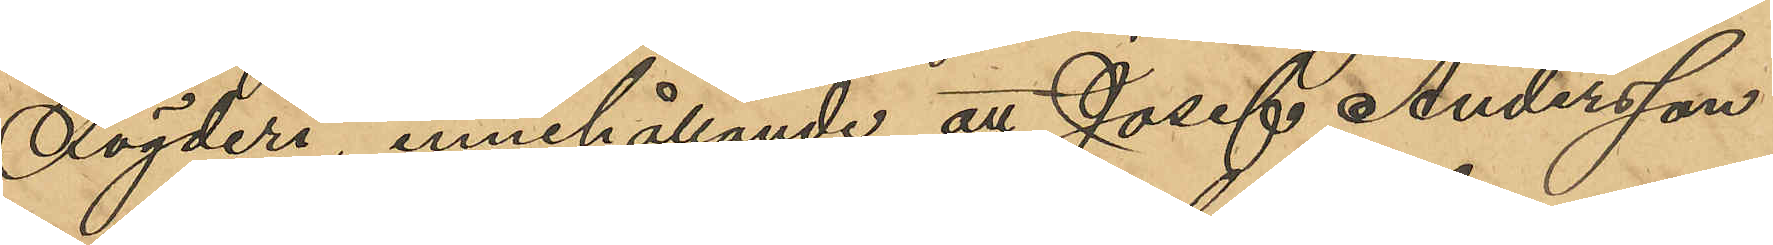Fögderi, innehållande att Josef Andersson
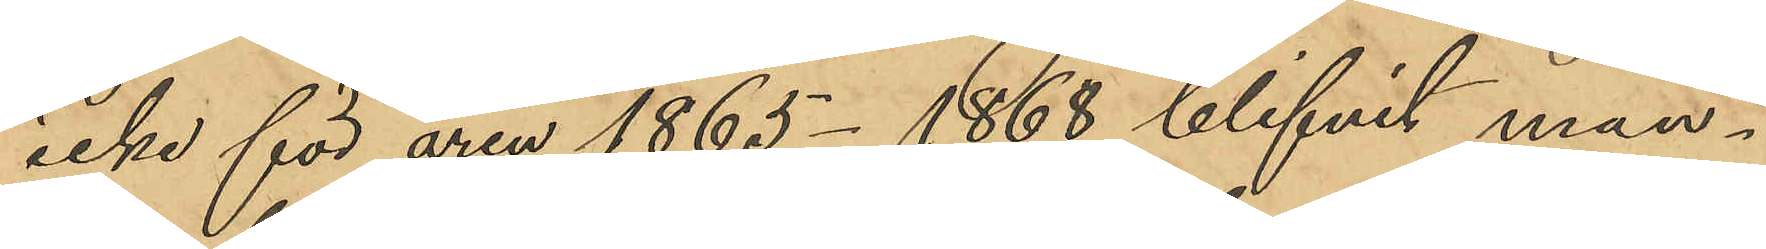icke för åren 1865 - 1868 blifvit man¬
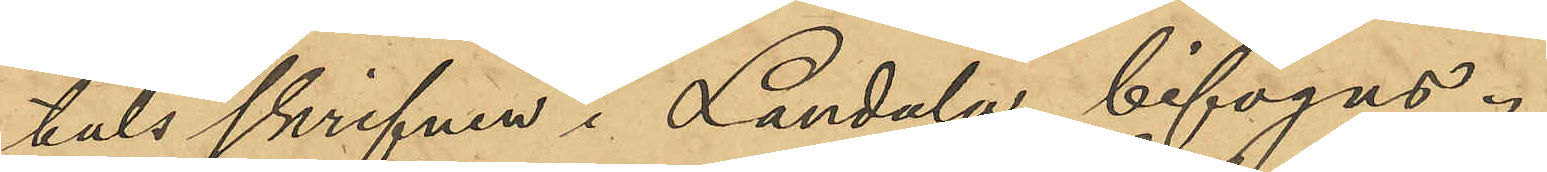talsskrifven i Landala, bifogas.
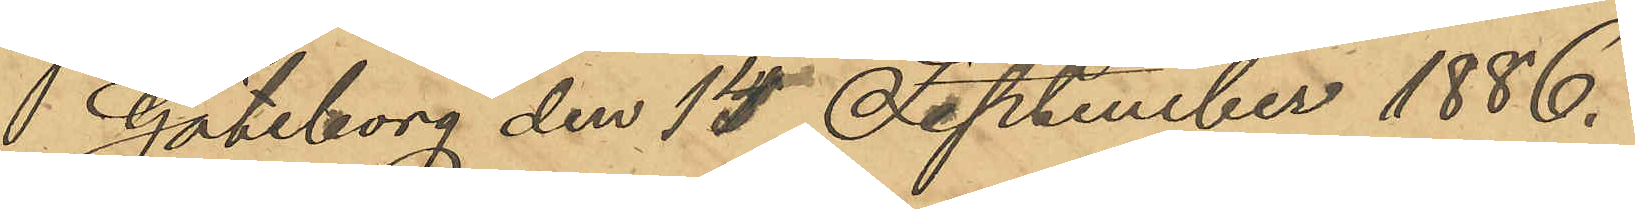Göteborg den 15 September 1886.
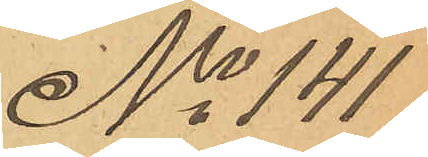No 141
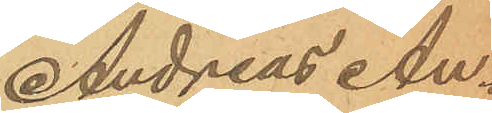Andreas An¬
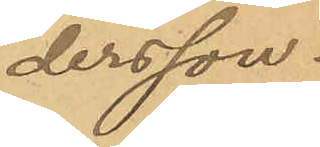dersson.
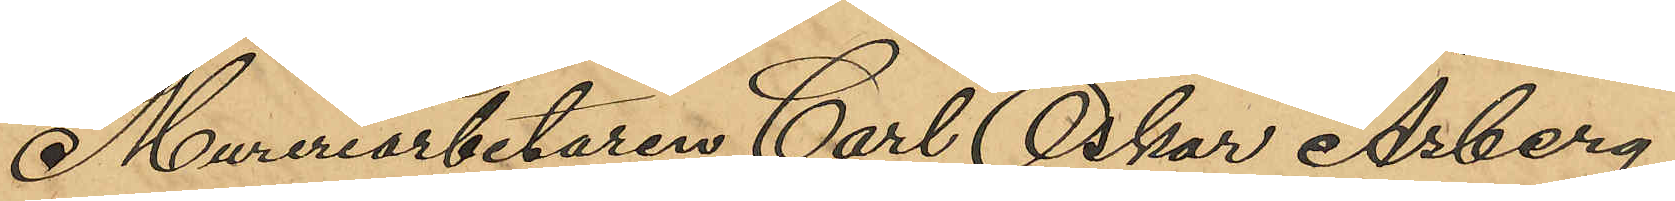Mureriarbetaren Carl Oskar Åsberg,
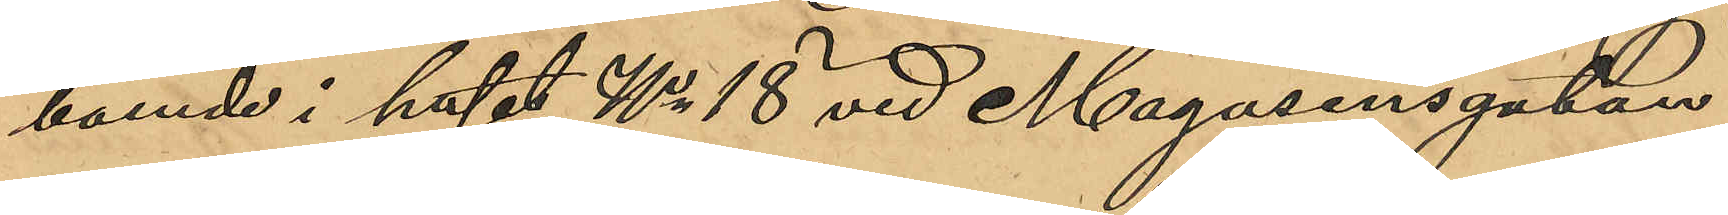boende i huset No 18 vid Magasinsgatan,
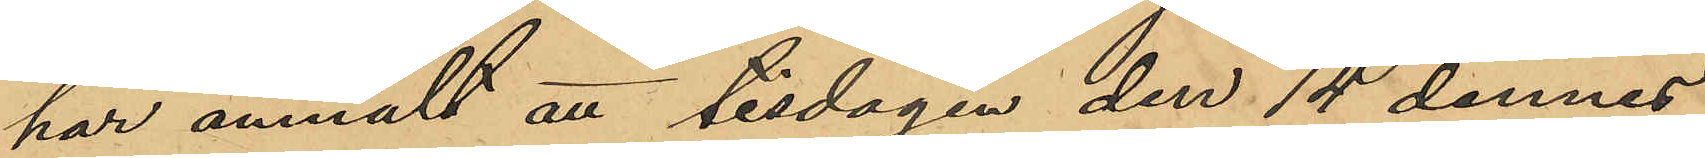har anmält att tisdagen den 14 dennes
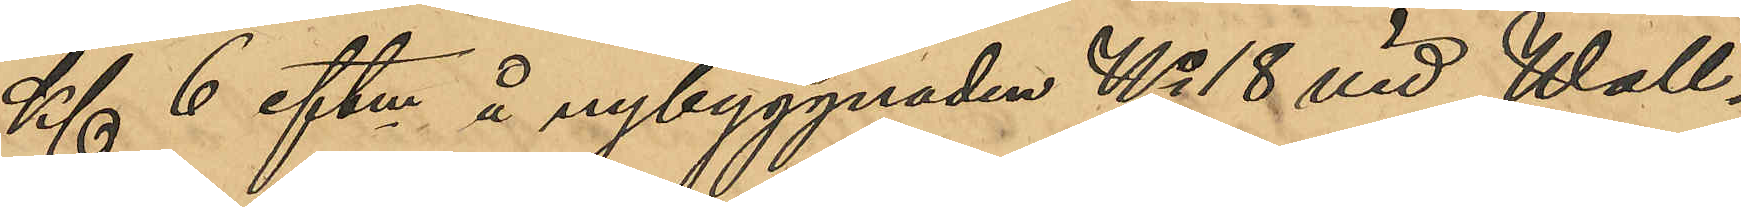Kl 6 eftm å nybyggnaden No 18 vid Wall¬
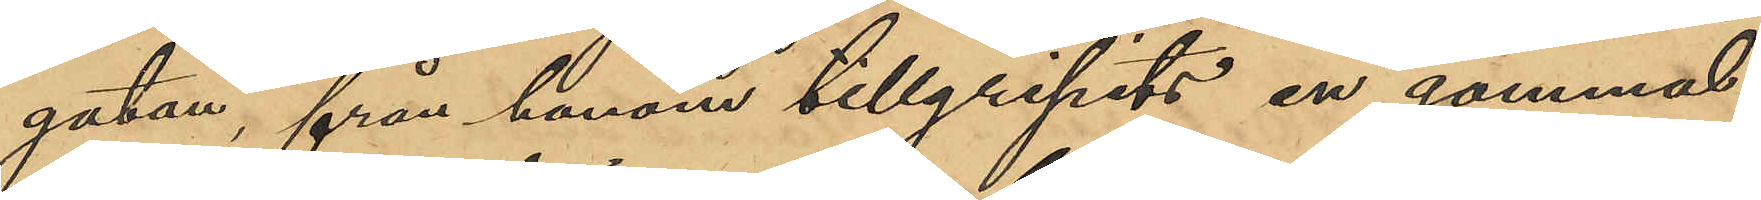gatan, från honom tillgripits en gammal
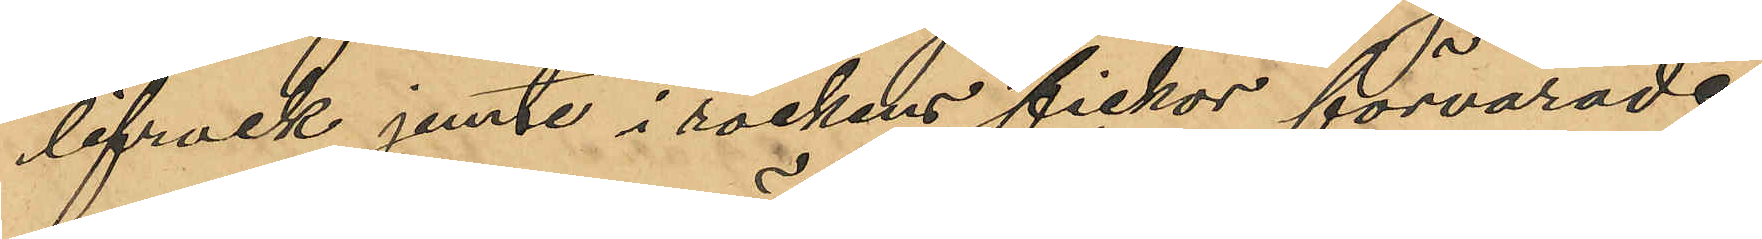lifrock jemte i rockens fickor förvarade
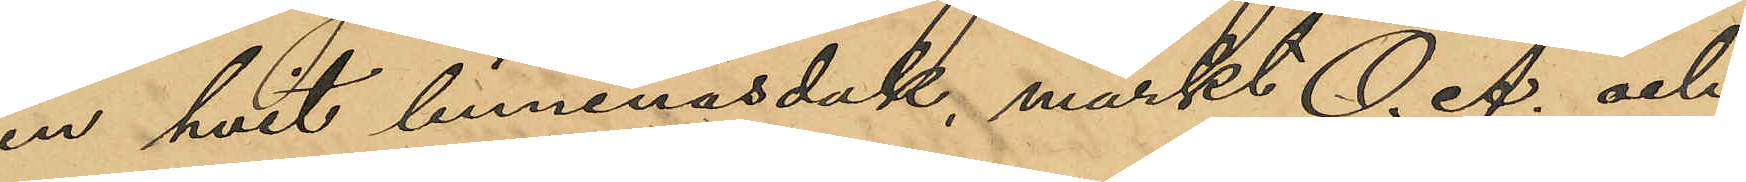en hvit linnenäsduk, märkt O. Å. och
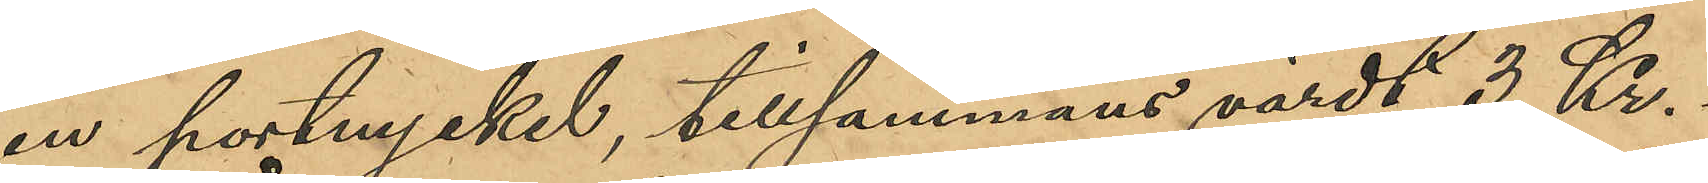en portnyckel, tillsammans värdt 3 Kr.
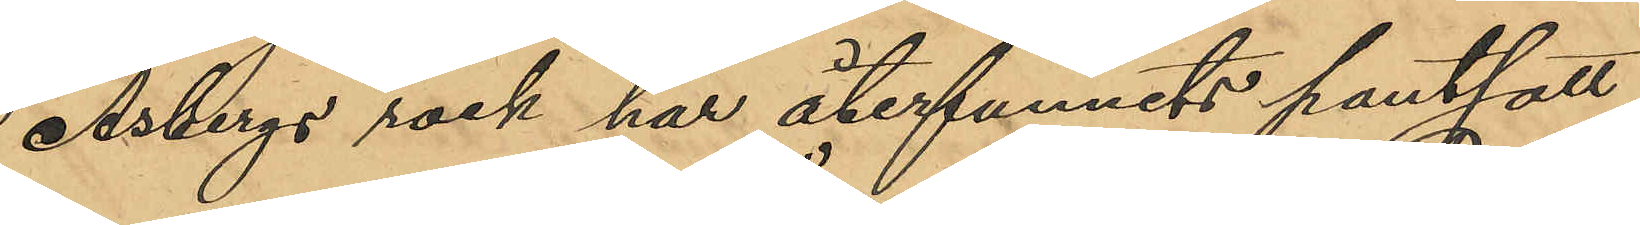Åsbergs rock har återfunnits pantsatt
